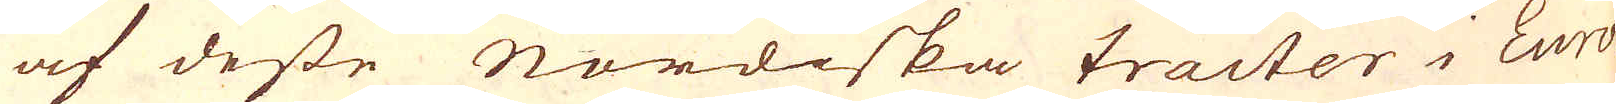af desse Nordiska tracter i Euro-
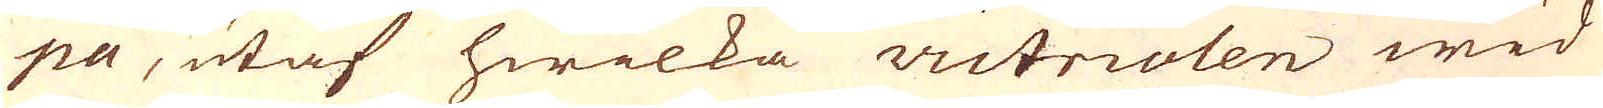pa, utaf hwilka victriolen wid
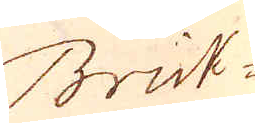Brick-
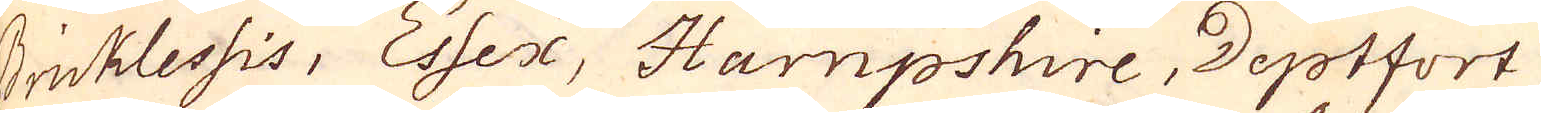Bricklessis, Essex, Hampshire, Deptfort
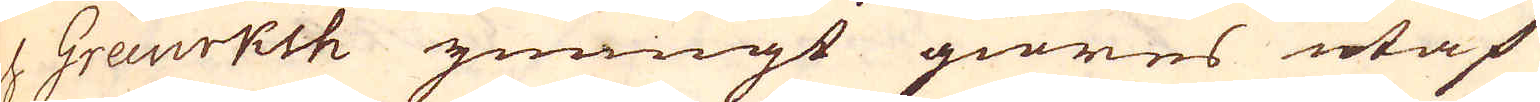och Grewrksh ymnigt giöres utaf
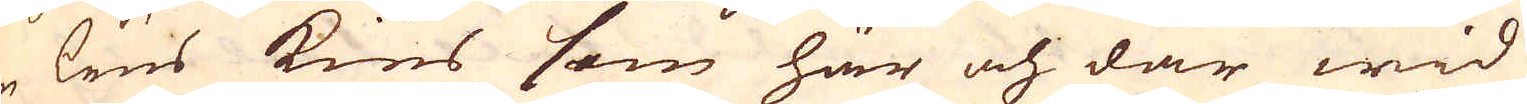en lius kies som här och där wid
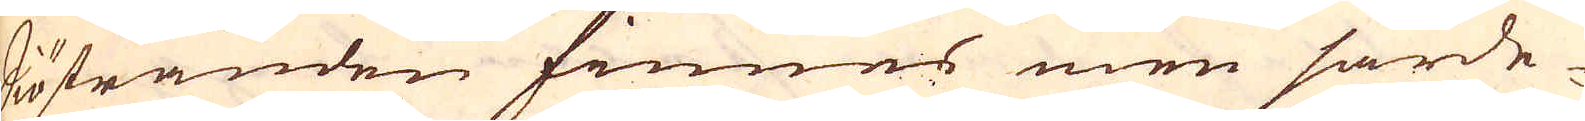Siöstranden finnes men särde-
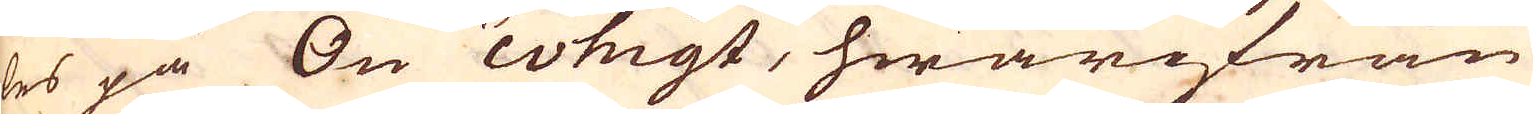les på Ön whigt, hwarifrån
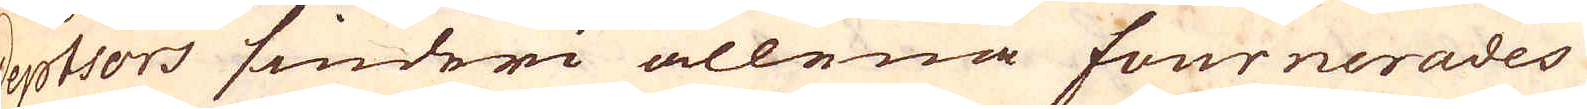Deptsors siuderi allena fournerades
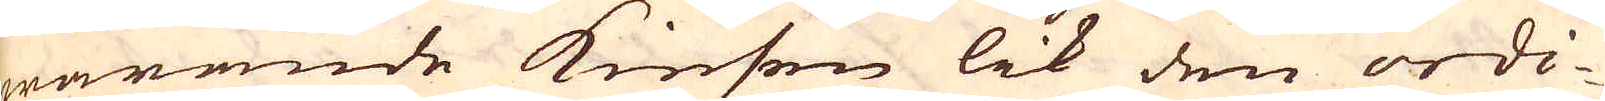warande Kiesen lik den ordi-
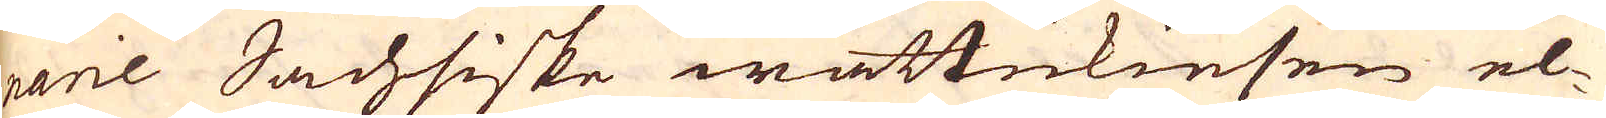narie Sachsiske wattukiesen el-
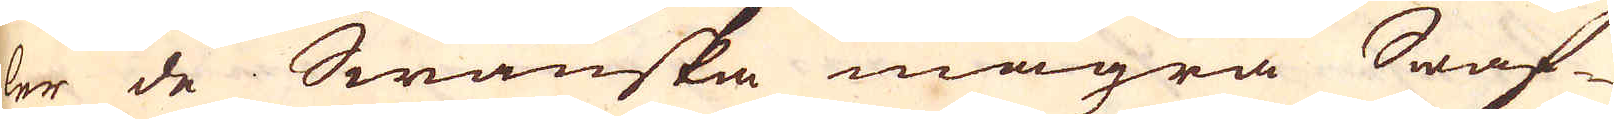ler de Swänska magra Swaf-
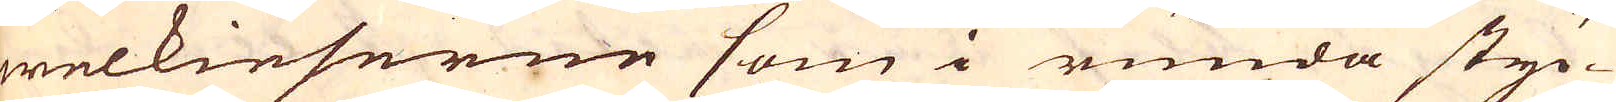welkieserne som i runda styc-
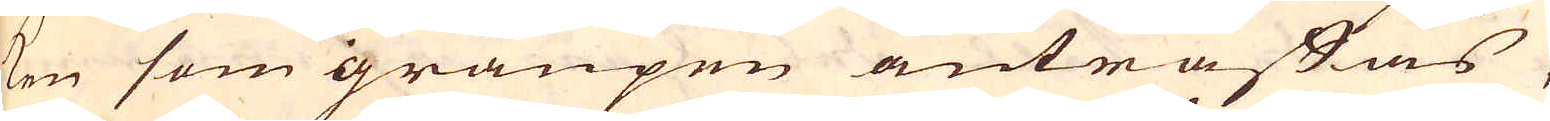ken som gränpen anträffas,
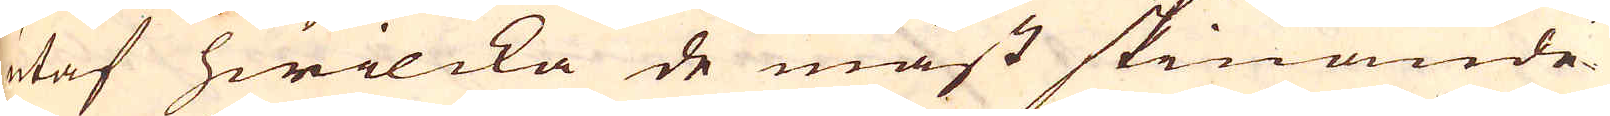utaf hwilcka de mäst skinande
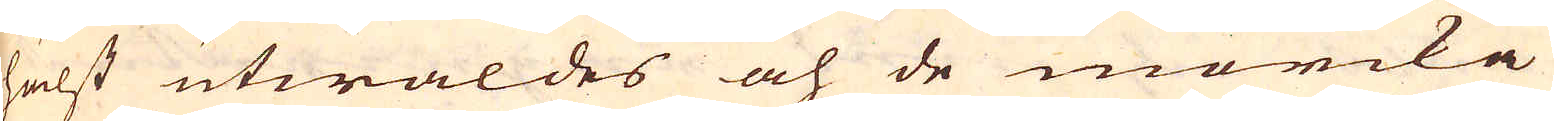hälst utwaldes och de mörcka
